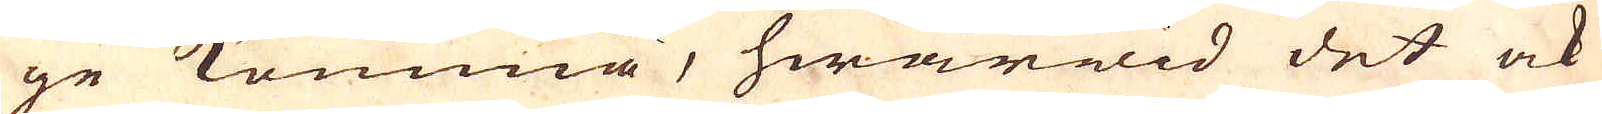ge komma, hwarwid det ock
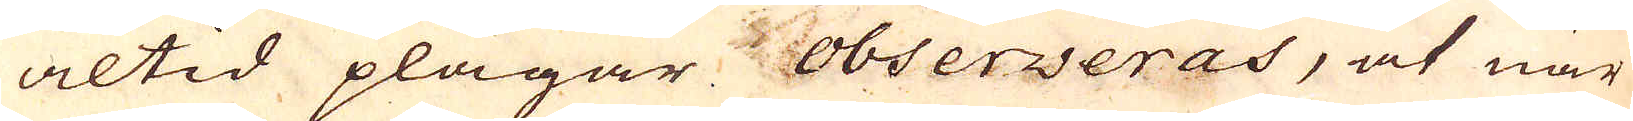altid plägar observeras, at när
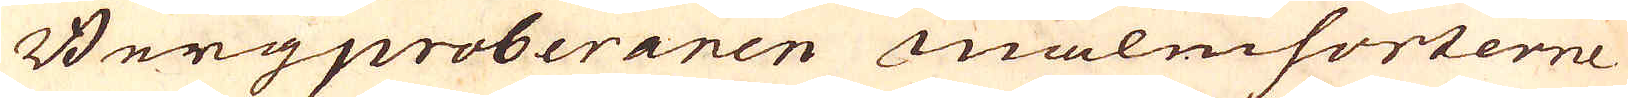Bergproberaren malmsorterne
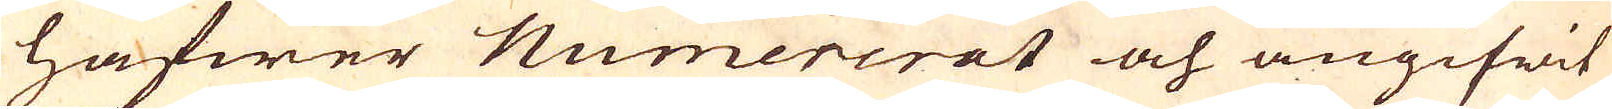hafwer Numererat och angifwit
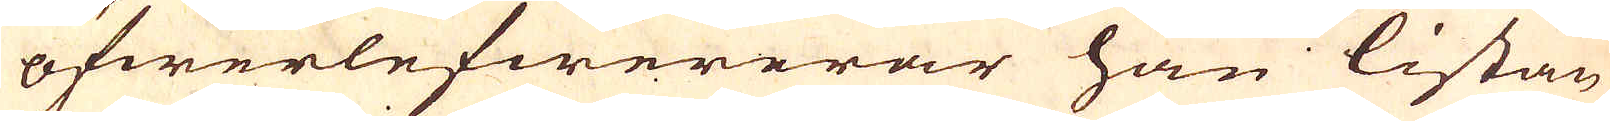öfwerlefwererar han listan
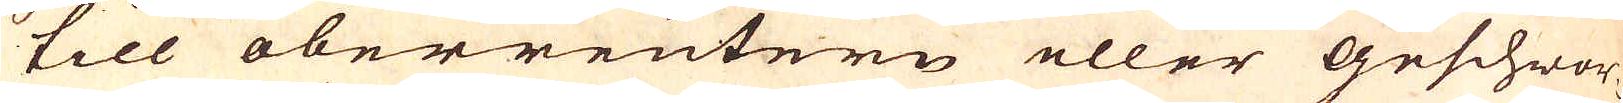till oberreutern eller Geschwor-
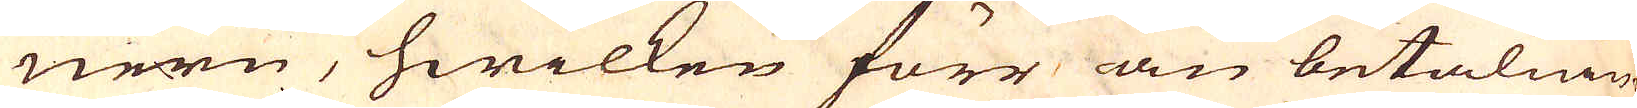nern, hwilken förr än betalnin-
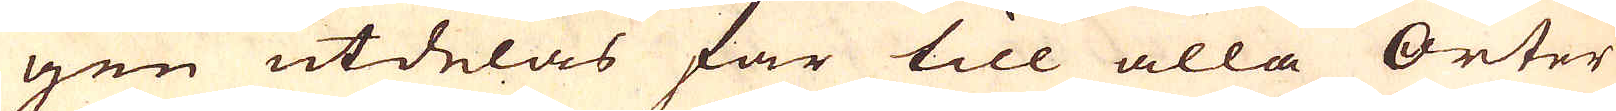gen utdelas far till alla Orter
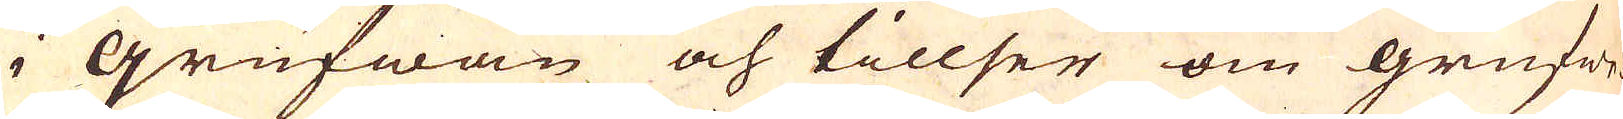i Grufwan och tillser om grufwe-
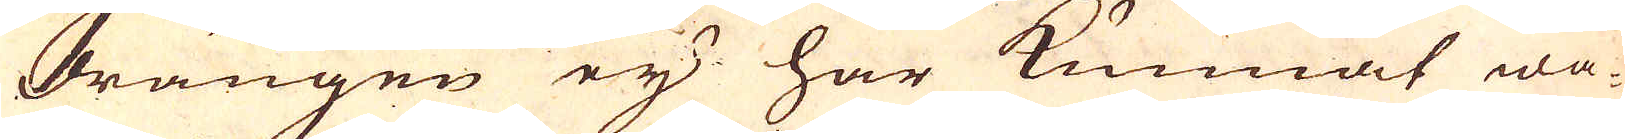drängen ej har kunnat wa-
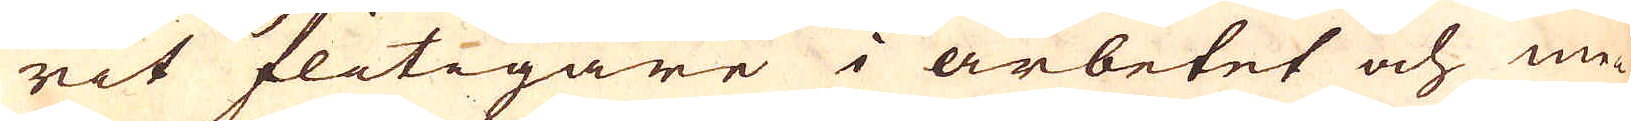rit flitigare i arbetet och me-
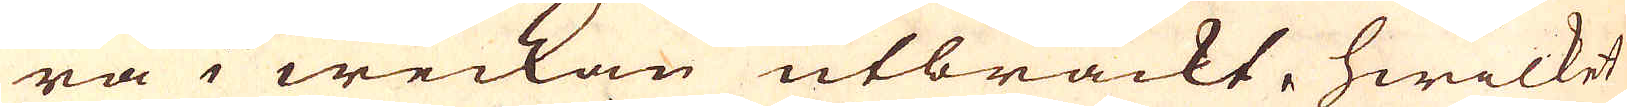ra i weckan utbrackt, hwilket
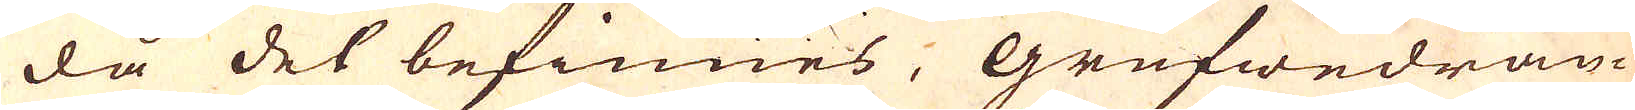då det befinnes, Grufwedrän-
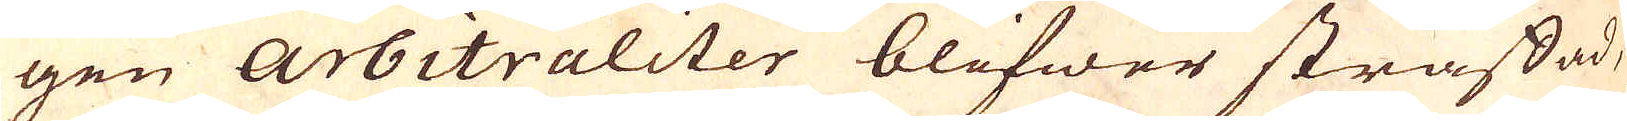gen Arbitraliter blifwer straffad,
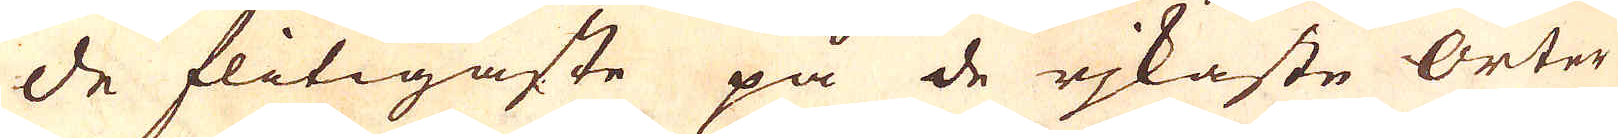de flitigaste på de rjkaste Orter
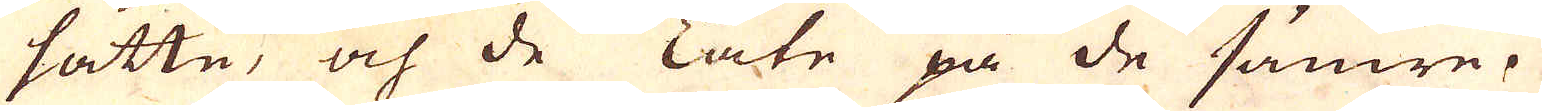satte, och de Late på de sämre.
